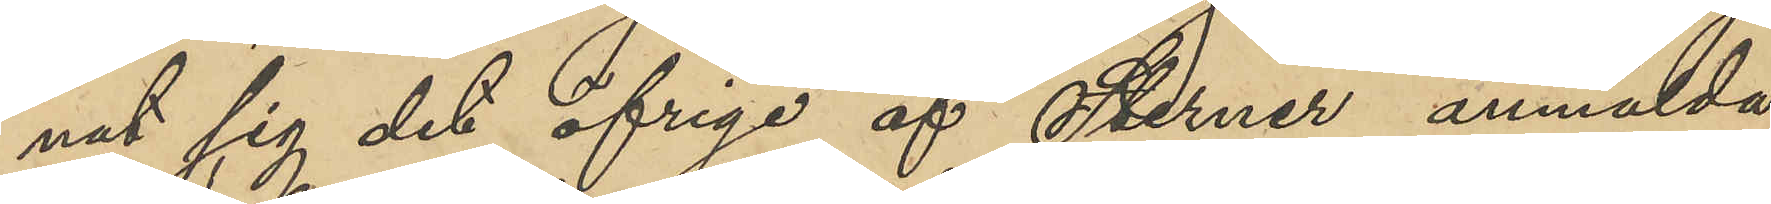nat sig det öfriga af Sterner anmälda
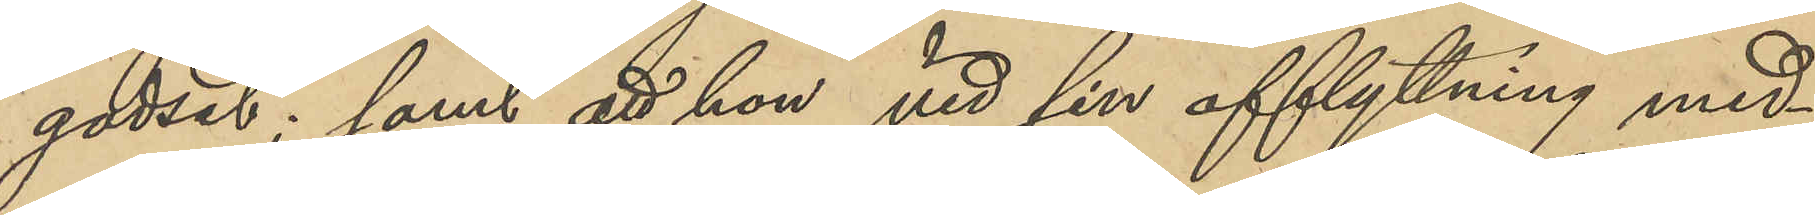godset; samt att hon vid sin afflyttning med¬
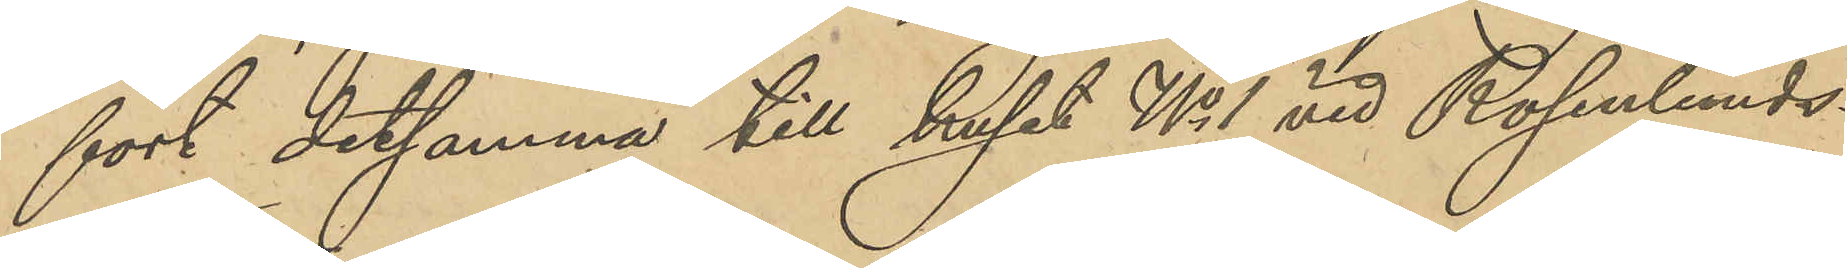fört detsamma till huset No 1 vid Rosenlunds¬
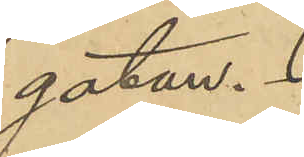gatan.
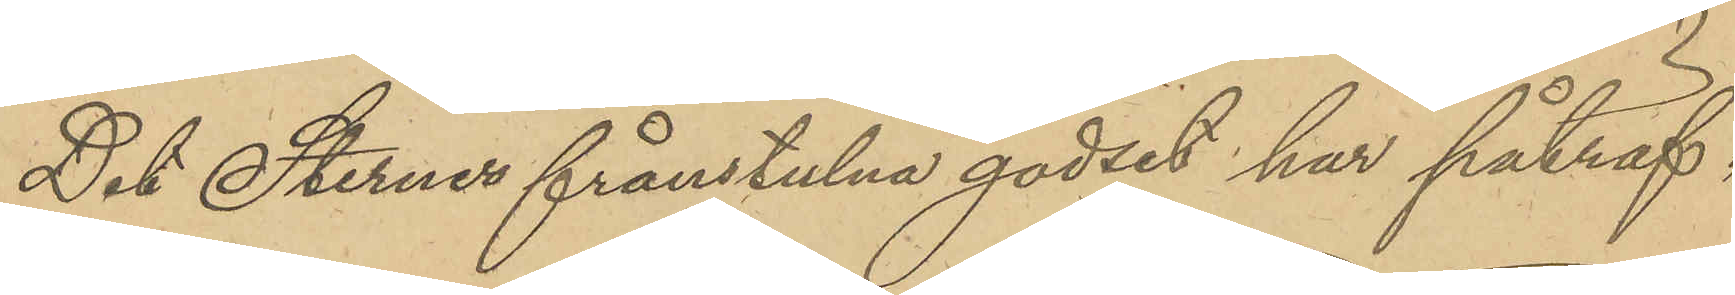Det Sterner frånstulna godset har påträf¬
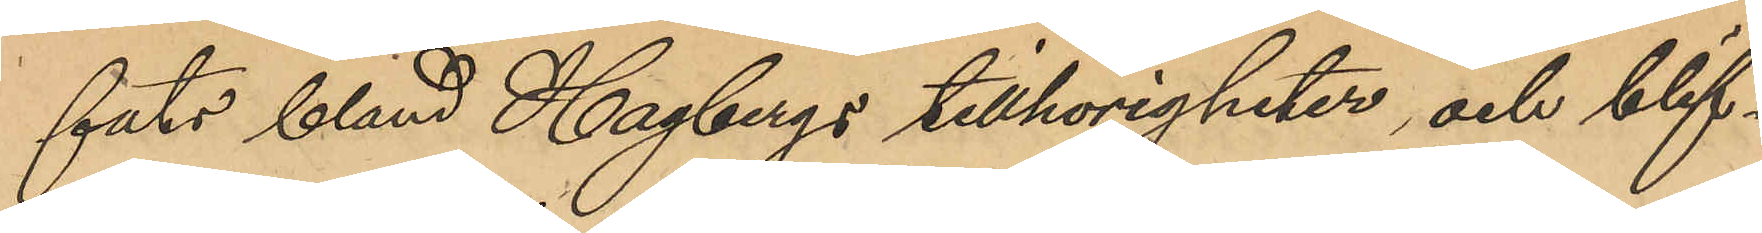fats bland Hagbergs tillhörigheter och blif¬
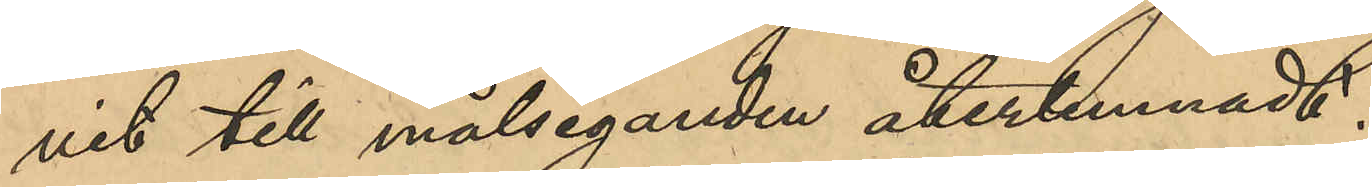vit till målseganden återlemnadt.
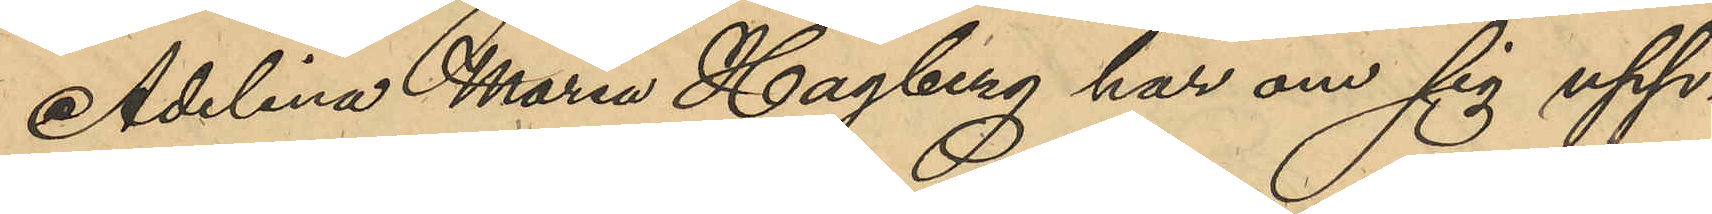Adelina Maria Hagberg har om sig upp¬
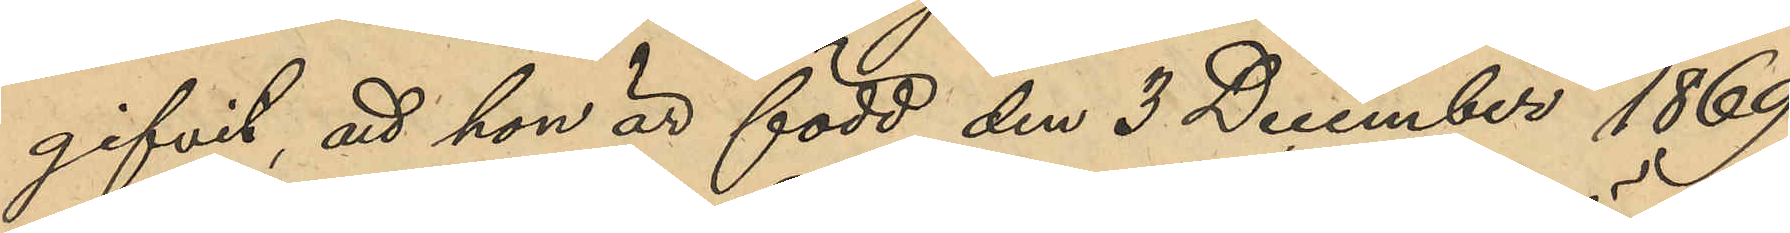gifvit att hon är född den 3 December 1869
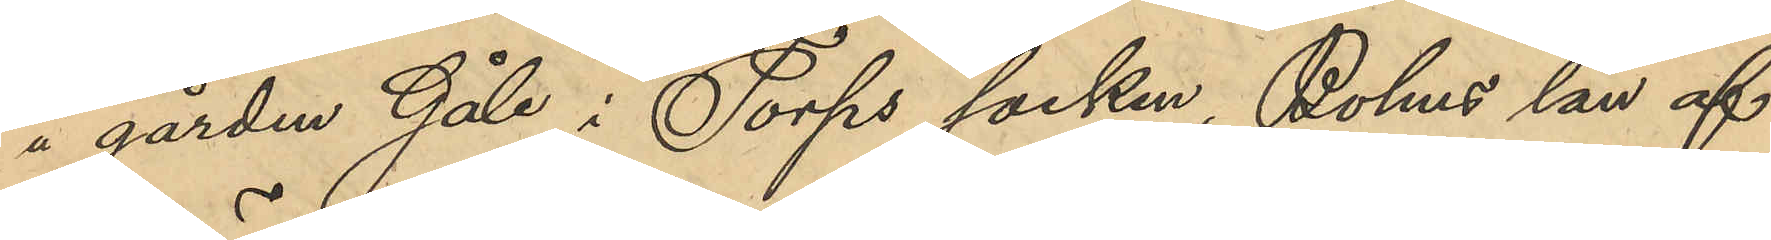å gården Gåle i Torps socken, Bohus län af
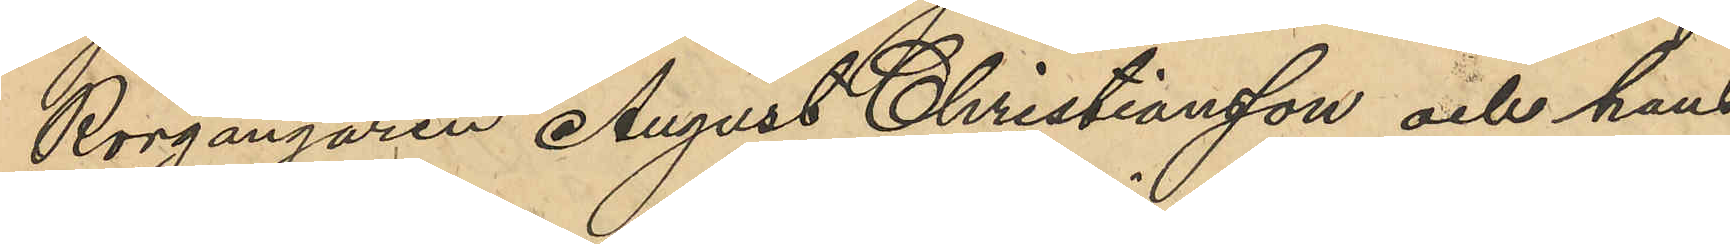Rorgängaren August Christiansson och hans
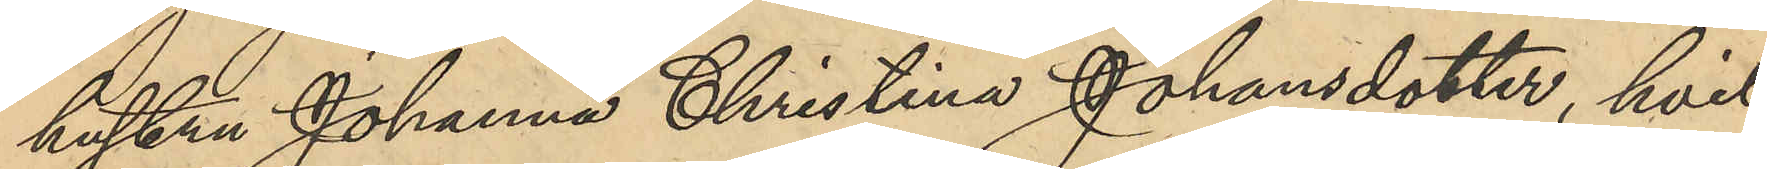hustru Johanna Christina Johansdotter, hvil¬
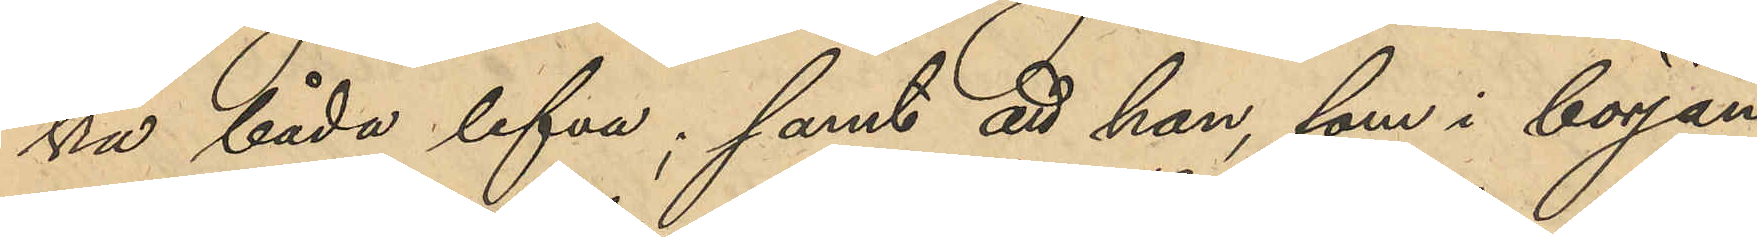ka båda lefver; samt att hon, som i början
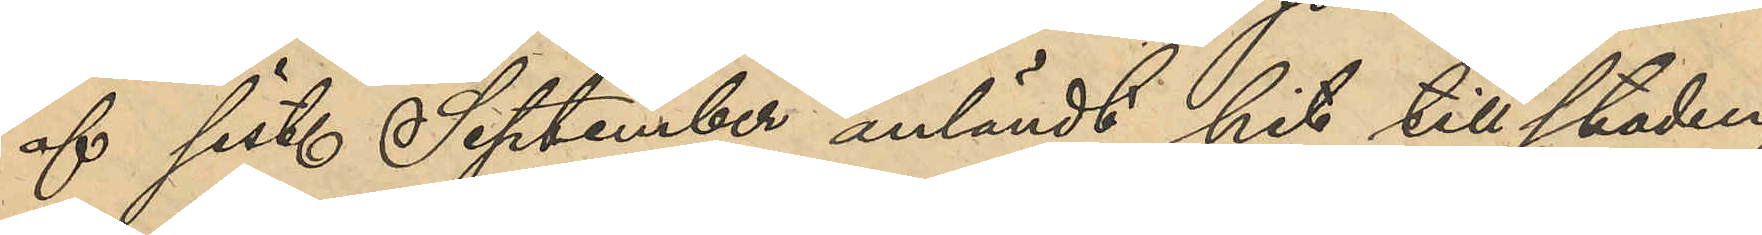af sistl September anländt hit till staden,
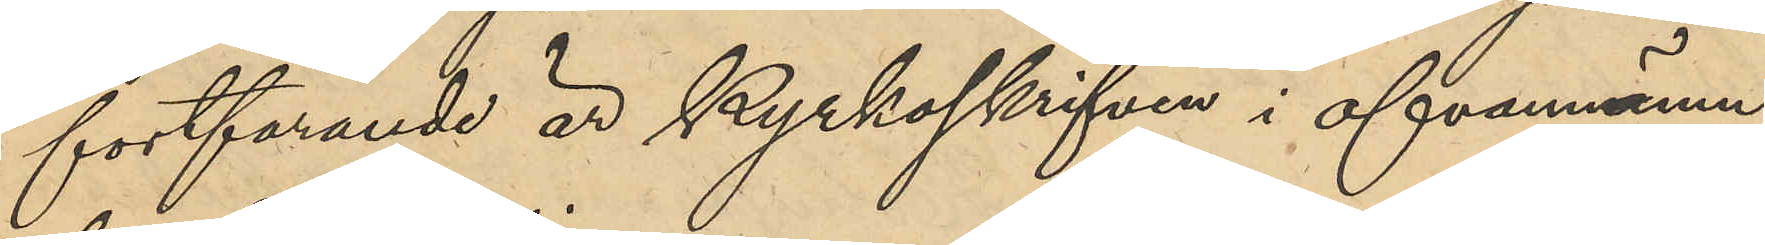fortfarande är kyrkoskrifven i ofvannämn¬
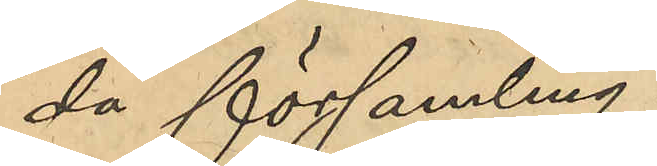da församling.
